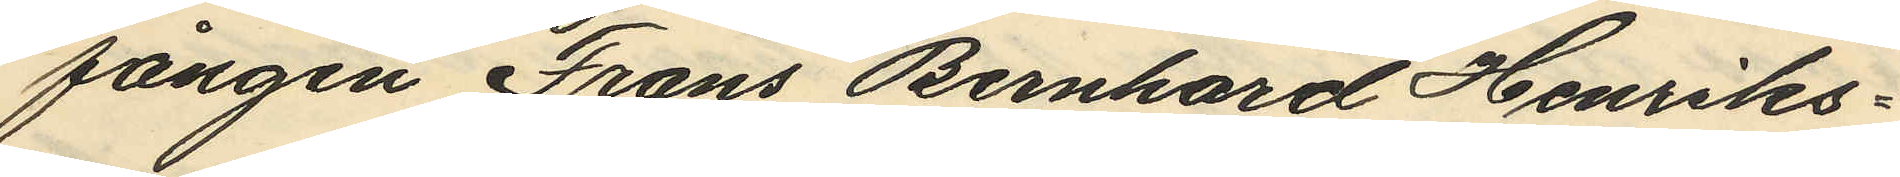fången Frans Bernhard Henriks¬
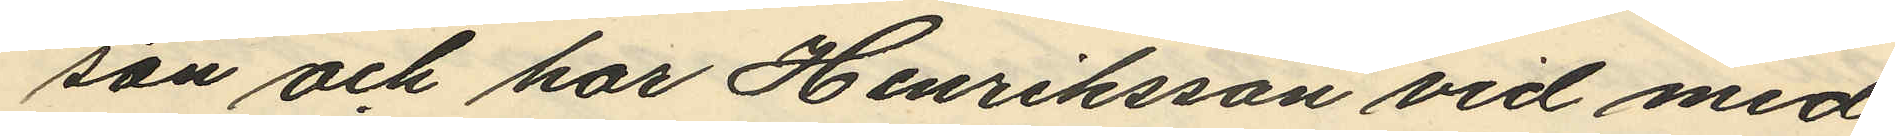son och har Henriksson vid med
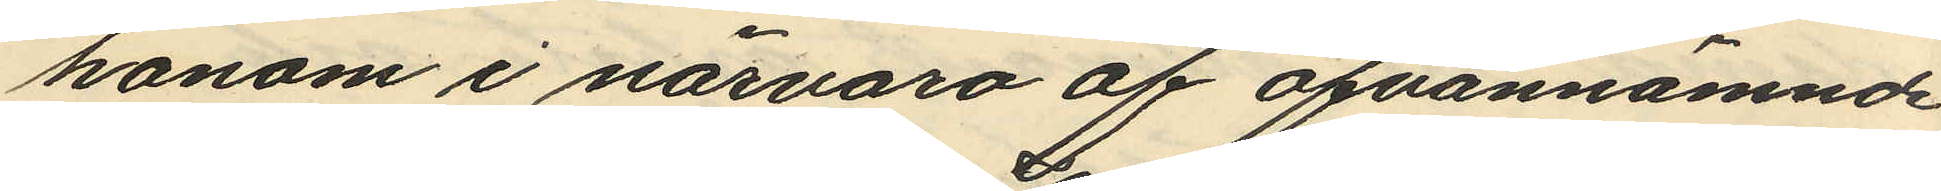honom i närvaro af ofvannämnd
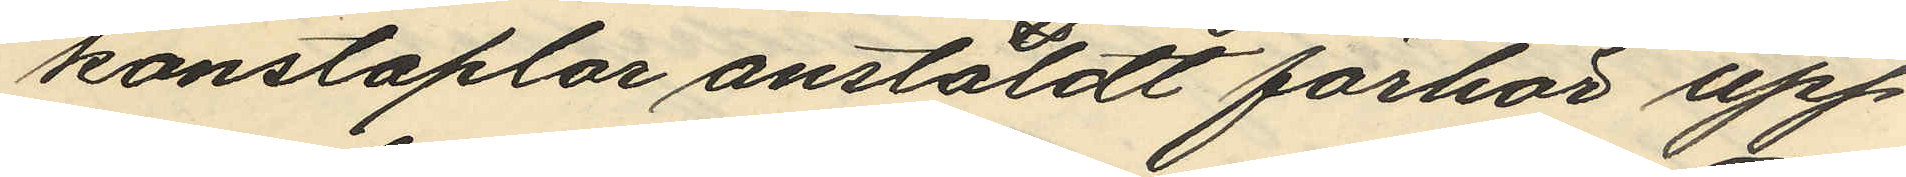konstaplar anstäldt förhör upp¬
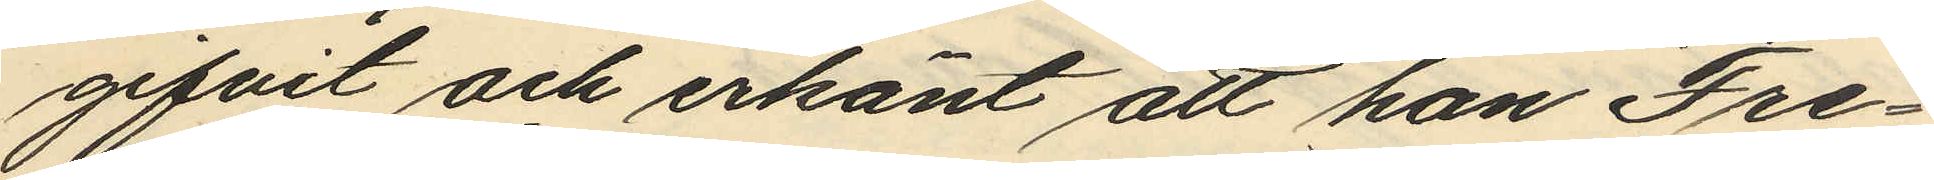gifvit och erkänt att han Fre¬
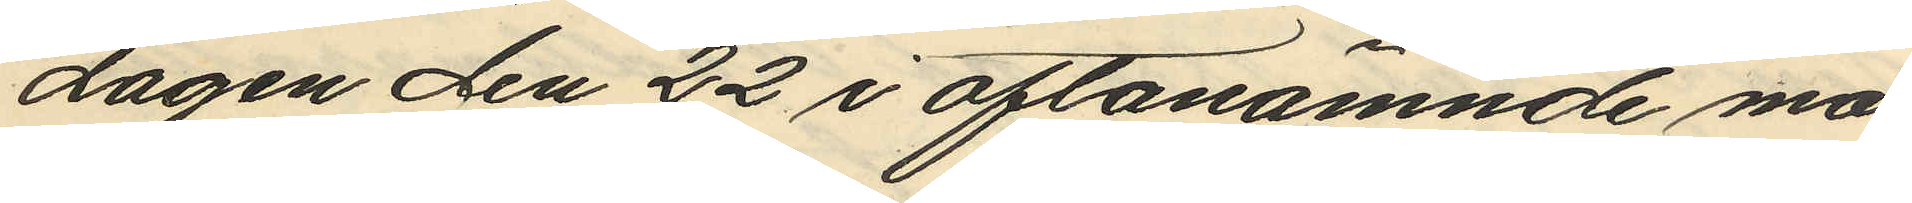dagen den 22 i oftanämnde må¬
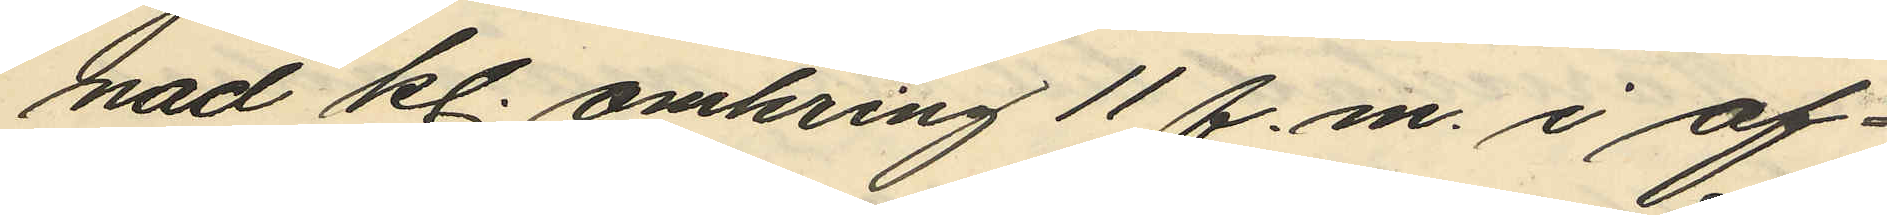nad kl. omkring 11 f.m. i af¬
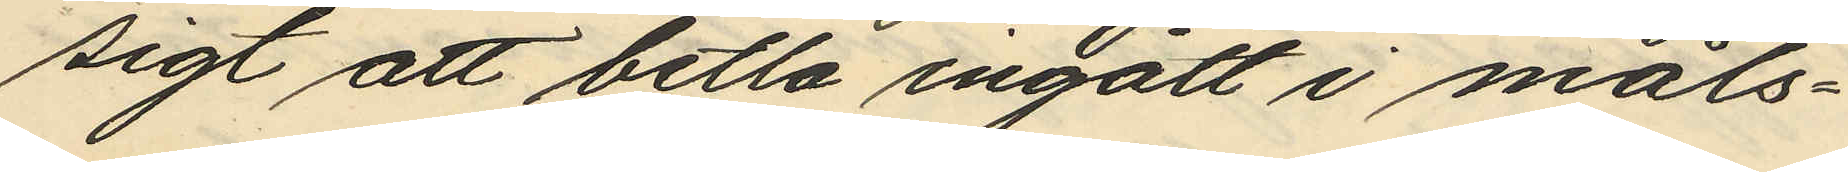sigt att betla ingått i måls¬
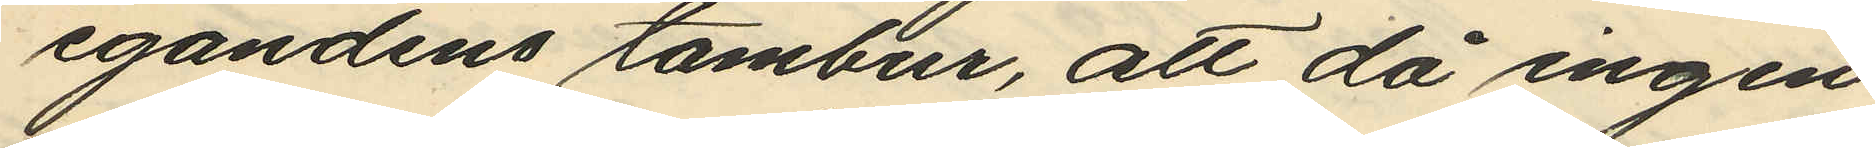egandens tambur, att då ingen
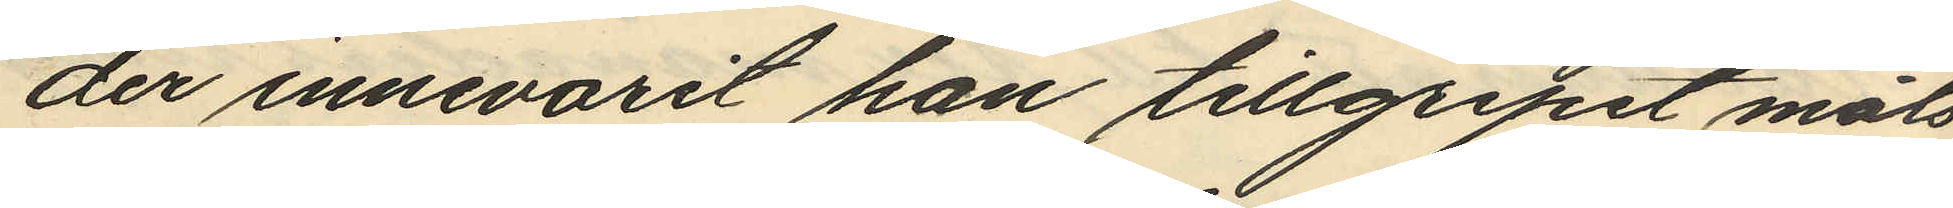der innevarit han tillgripit måls
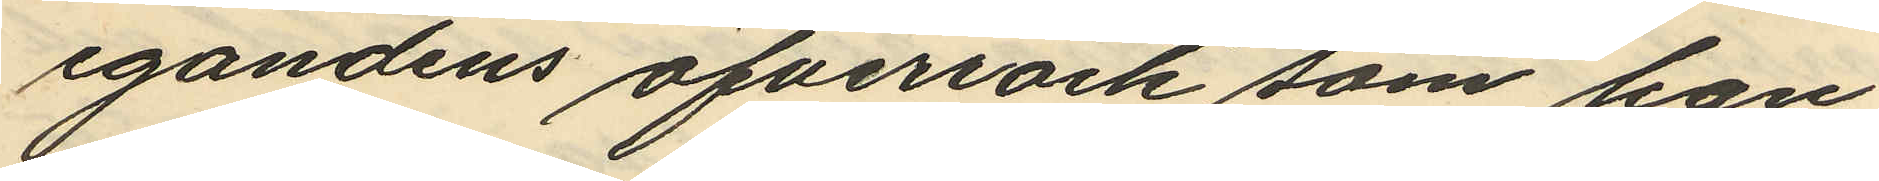egandens öfverrock som han
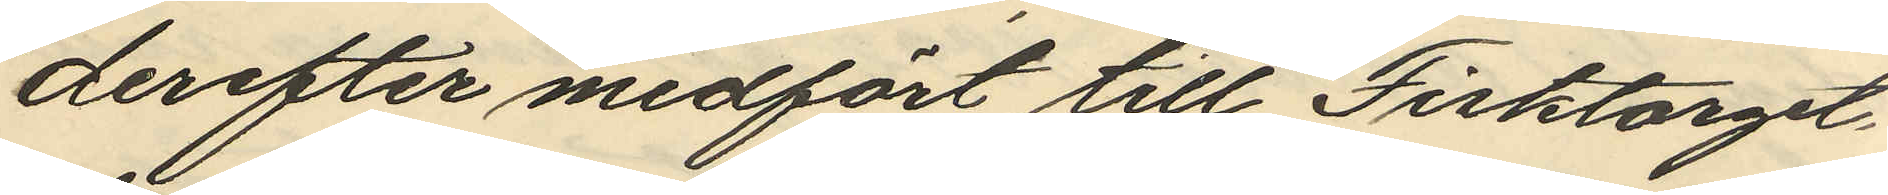derefter medfört till Fisktorget,
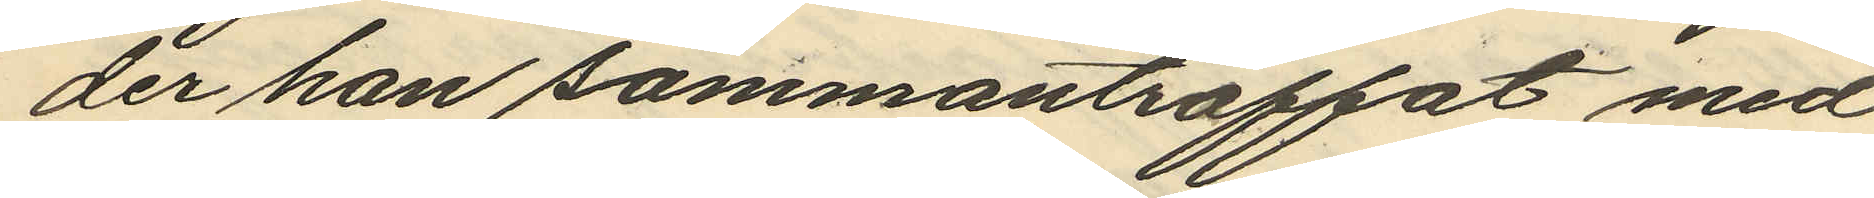der han sammanträffat med
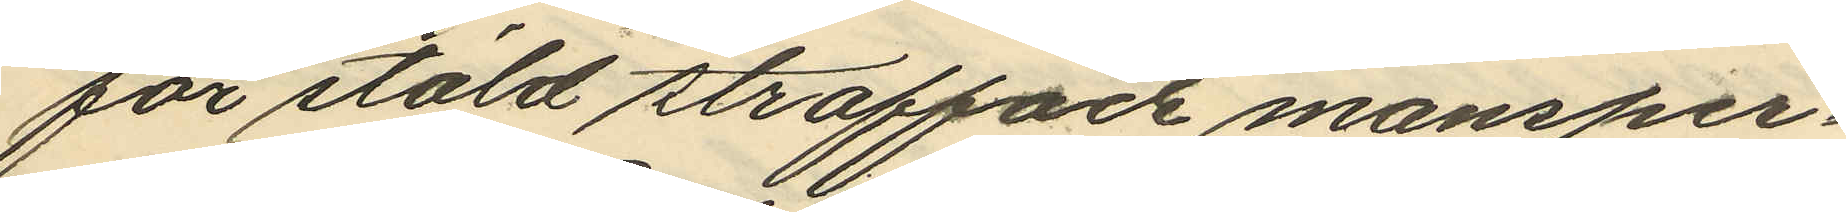för stöld straffad mansper¬
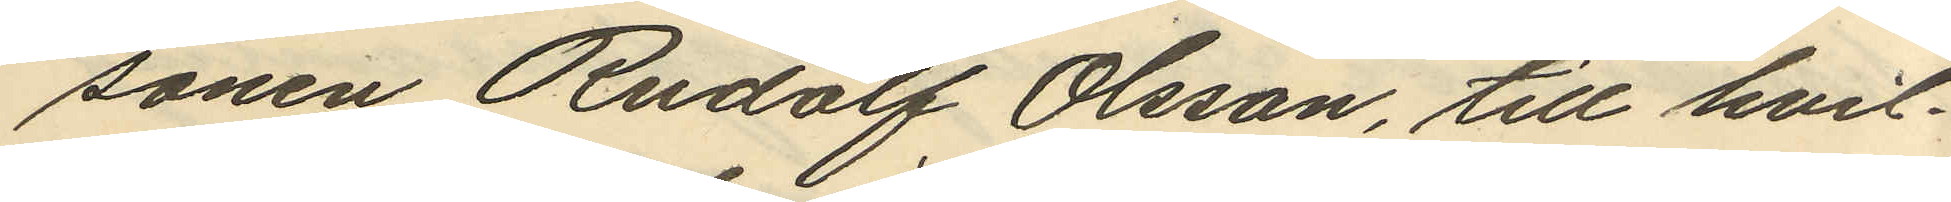sonen Rudolf Olsson, till hvil¬
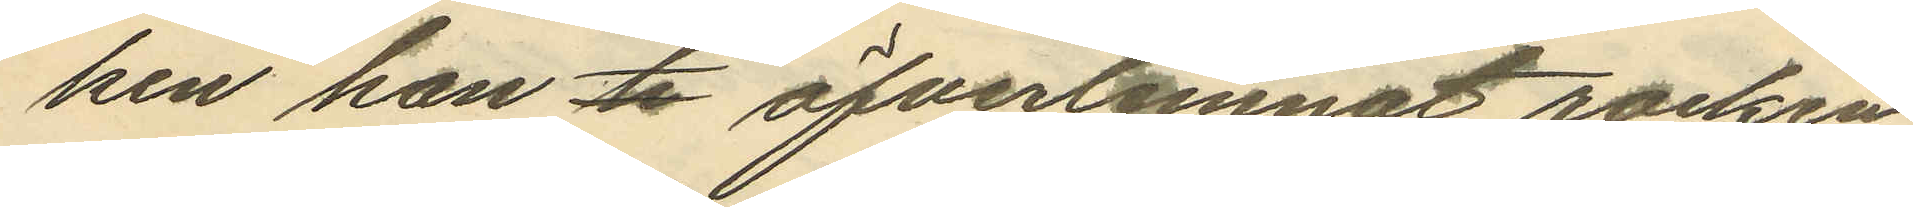ken han ti öfverlemnat rocken
